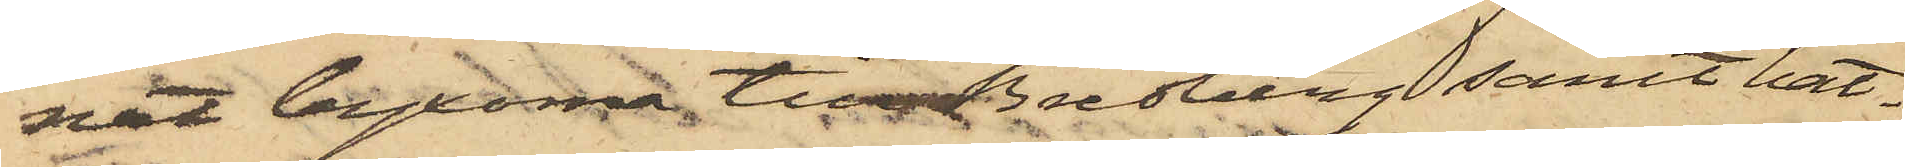nat byxorna till Bredberg samt hat¬
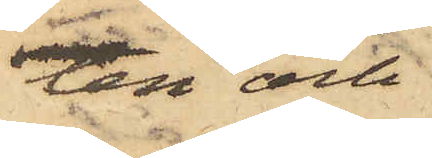ten och
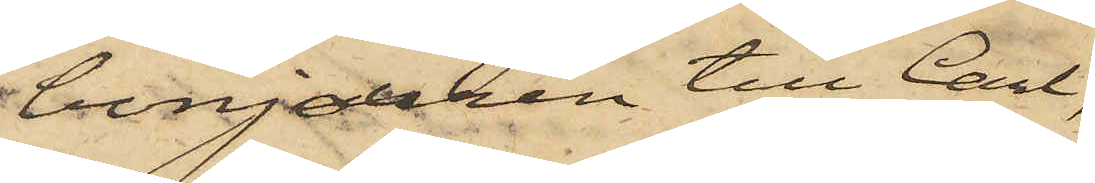bonjouren till Carl,
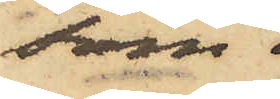som
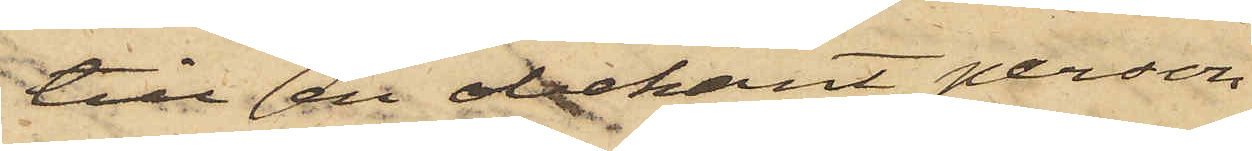till en obekant person
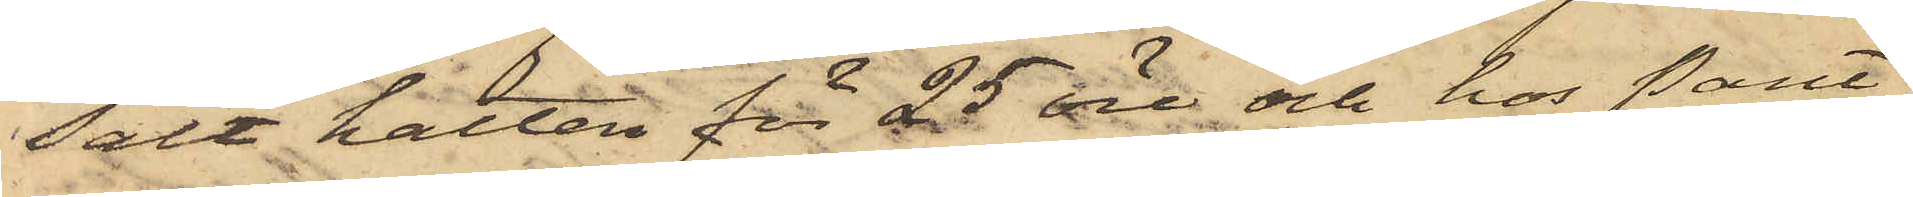sålt hatten för 25 öre och hos Pant¬
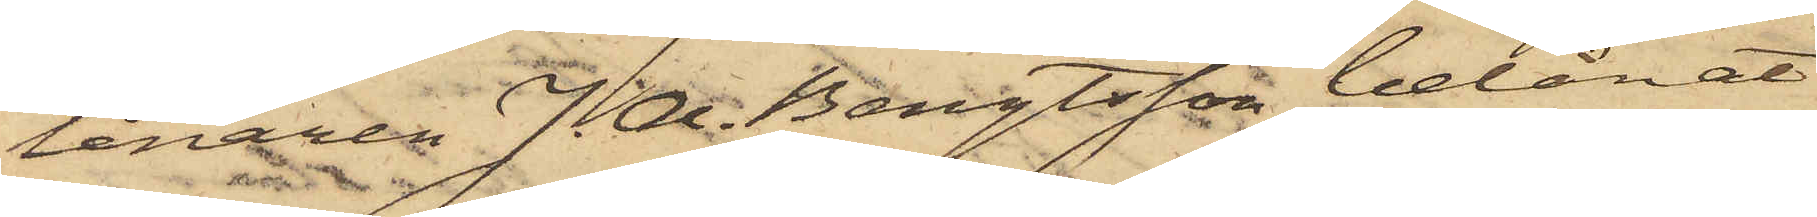lånaren J. A. Bengtsson belånat
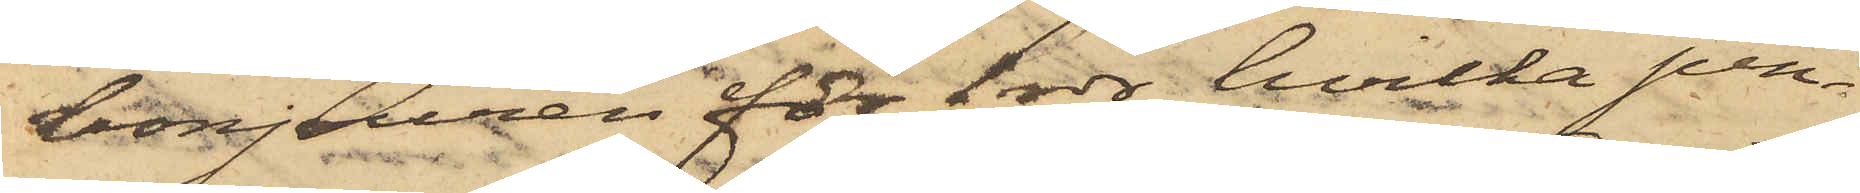bonjouren för 1 rdr, hvilka pen¬
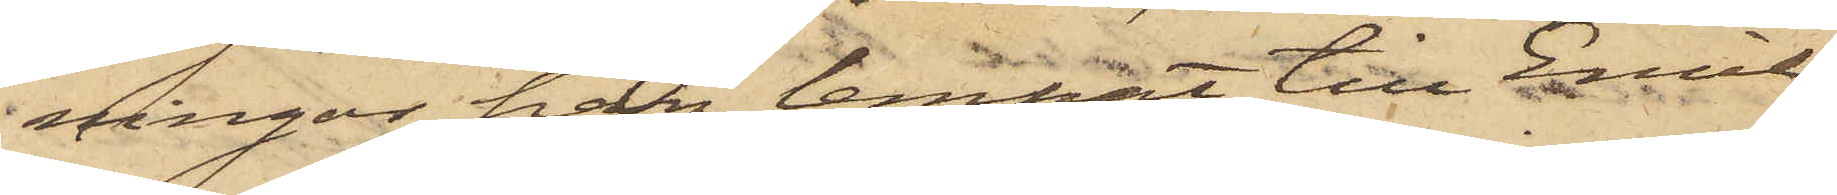ningar han lemnat till Emil,
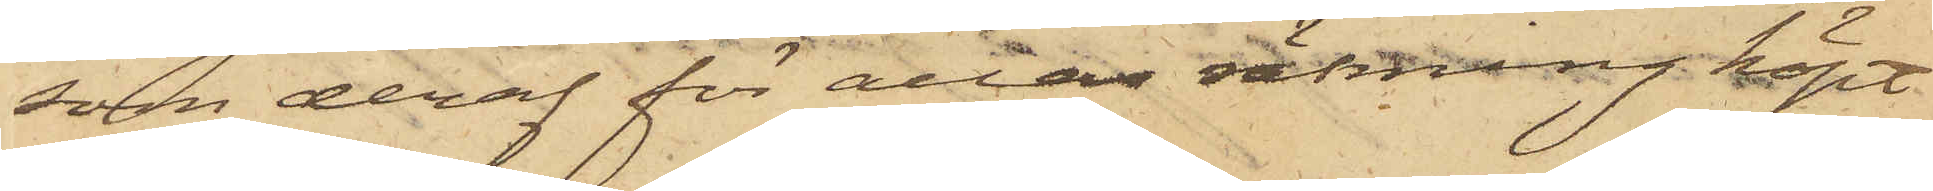som deraf för allas räkning köpt
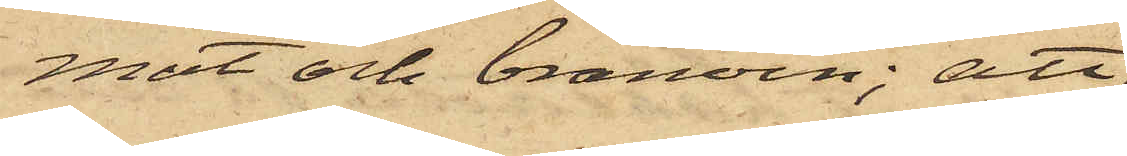mat och bränvin; att
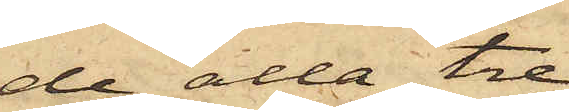de alla tre
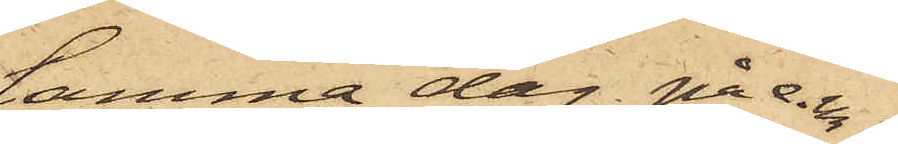samma dag på e.m.
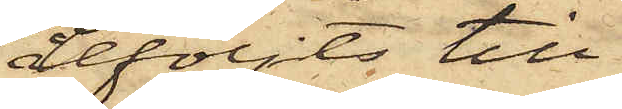åtföljts till
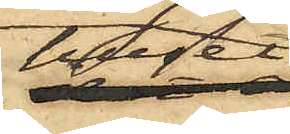huset
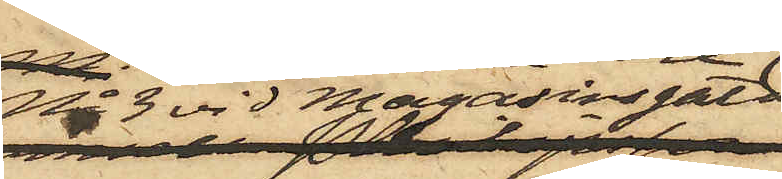No 3 vid Magasinsgatan
